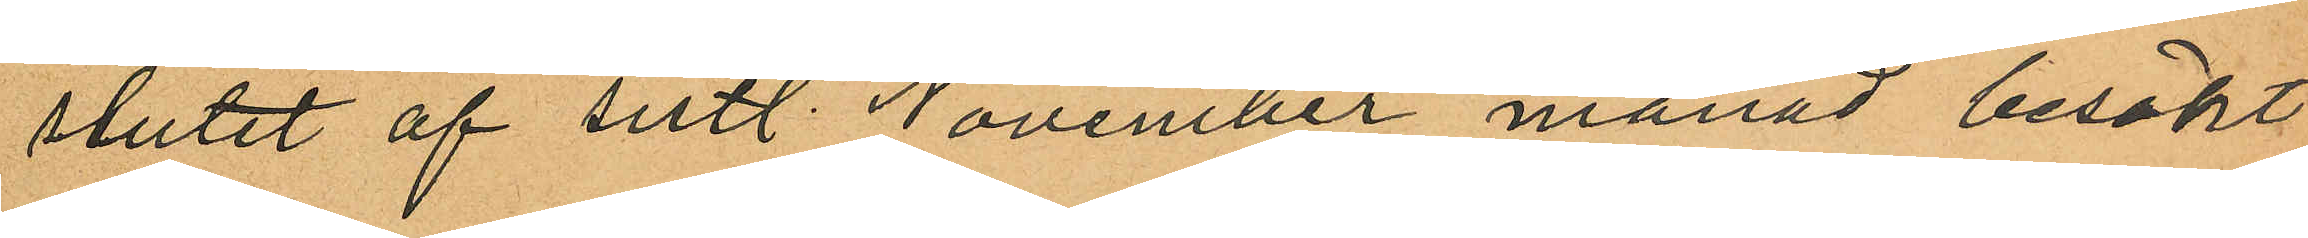slutet af sistl. November månad besökt
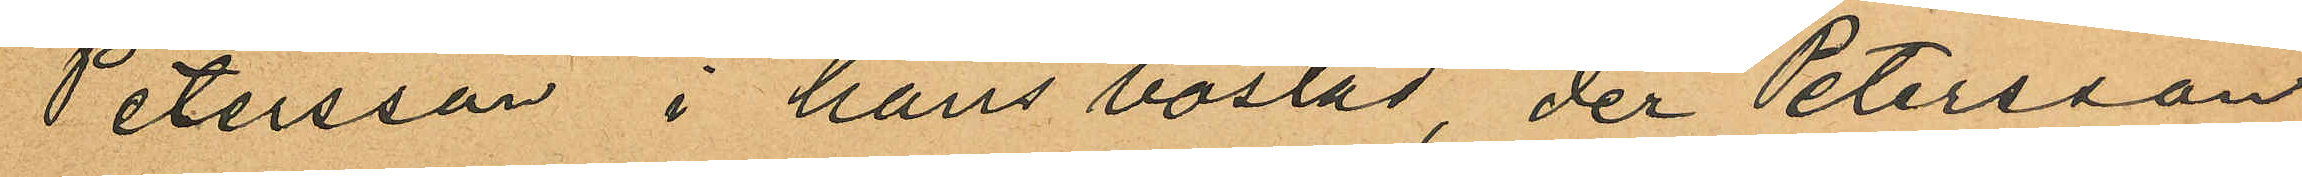Petersson i hans bostad, der Petersson
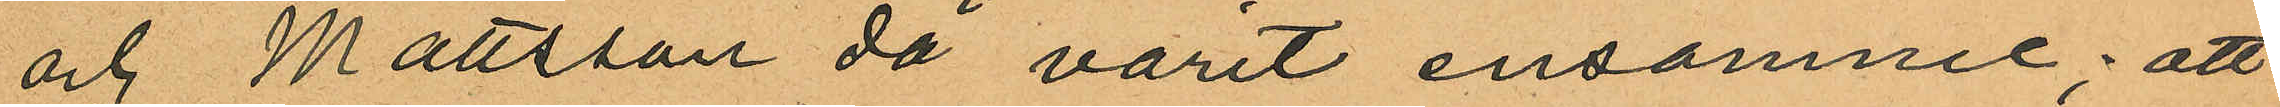och Mattsson då varit ensamme; att
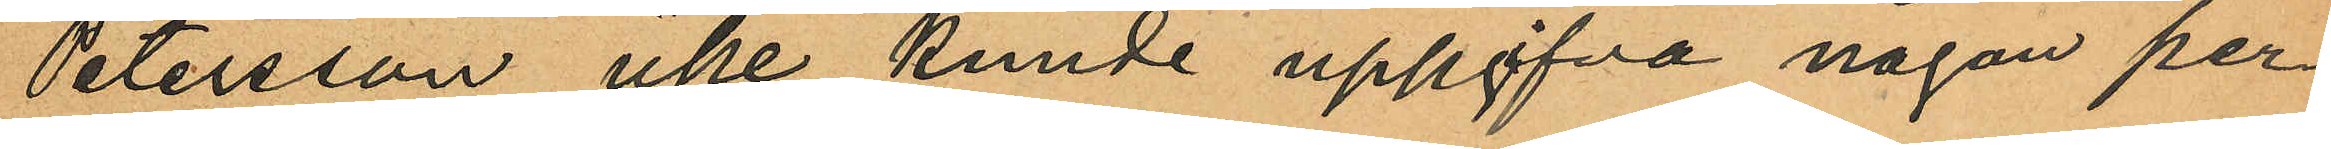Petersson icke kunde uppgfva någon per¬
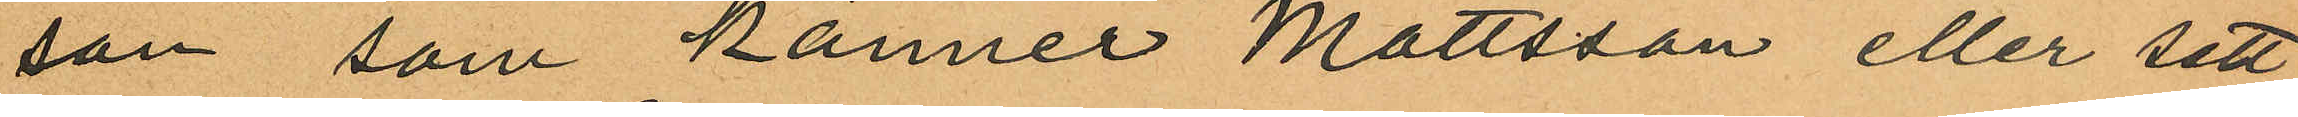son som känner Mattsson eller sett
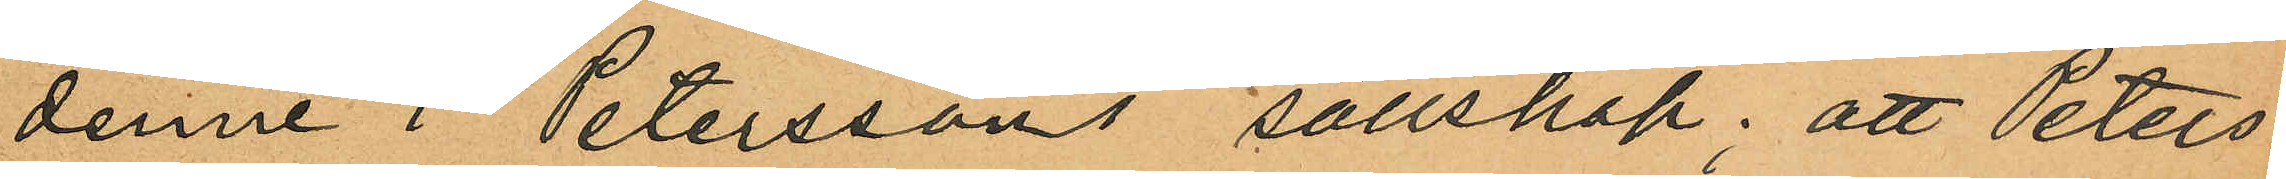denne i Peterssons sällskap; att Peters¬
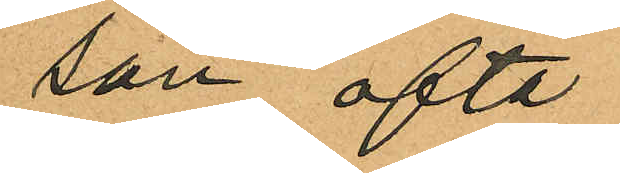son ofta
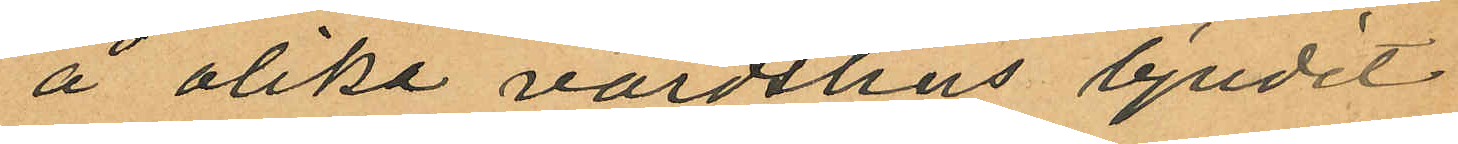å olika värdshus bjudit
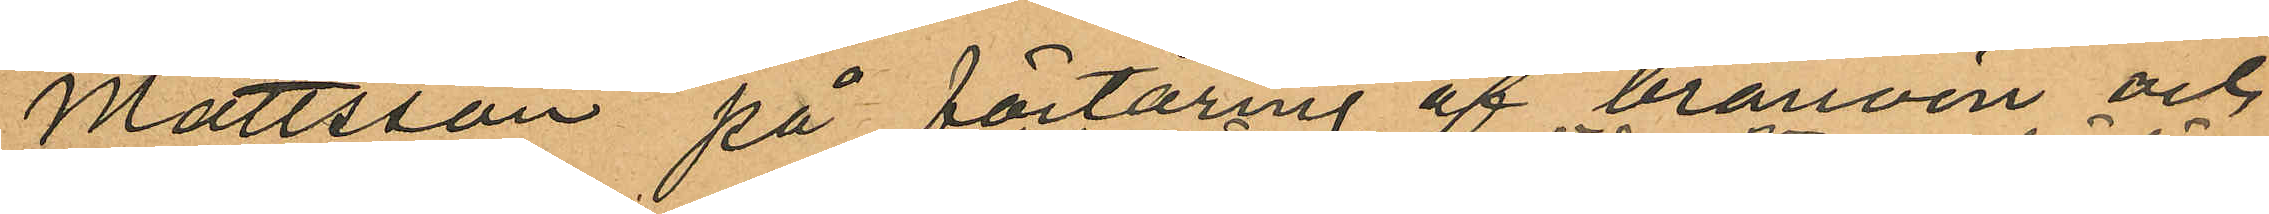Mattsson på förtäring af brännvin och
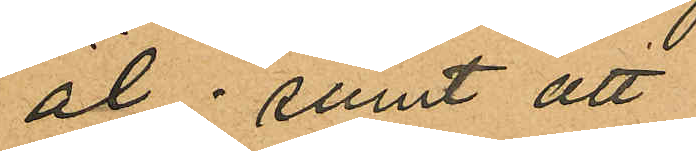öl; samt att
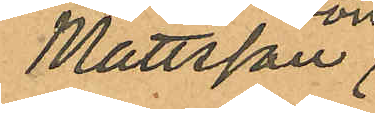Mattsson
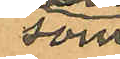som
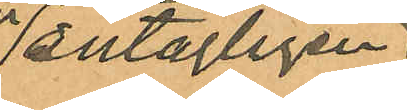antagligen
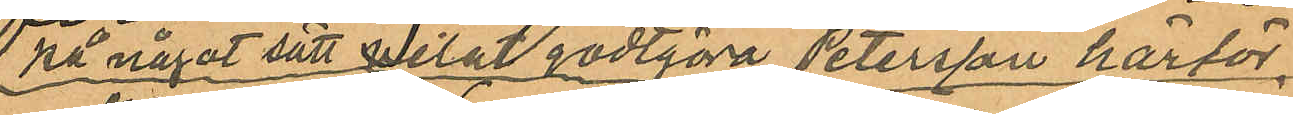på något sätt velat godtgöra Petersson härför
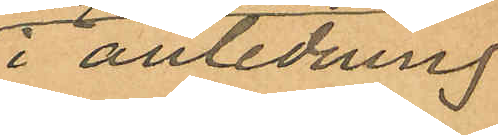i anledning
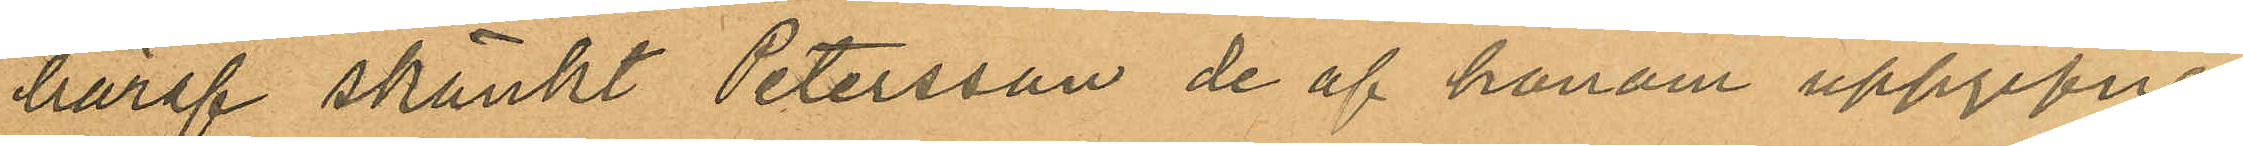häraf skänkt Petersson de af honom uppgifne
